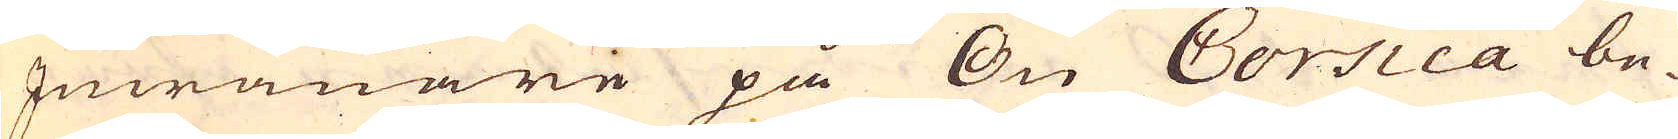Inwånare på Ön Corsica be-
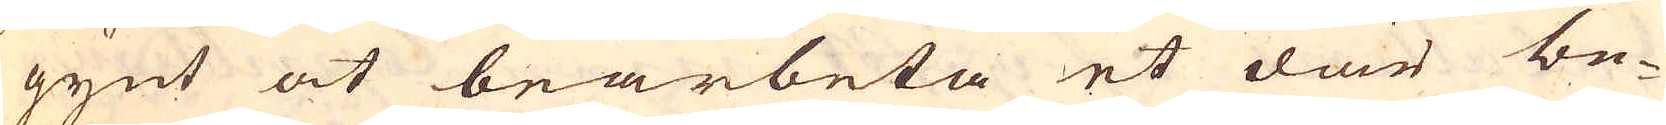gynt at bearbeta et där be-
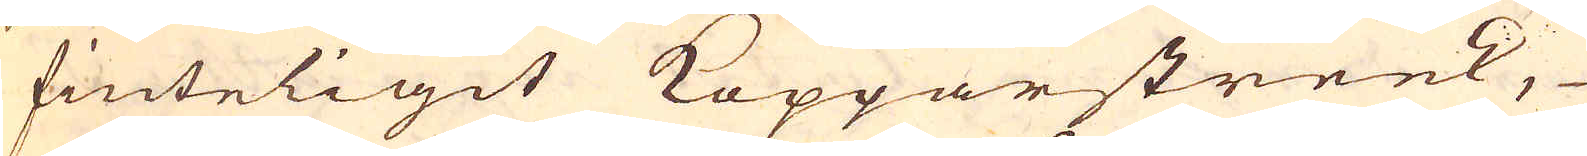finteligit Kopparstreek,
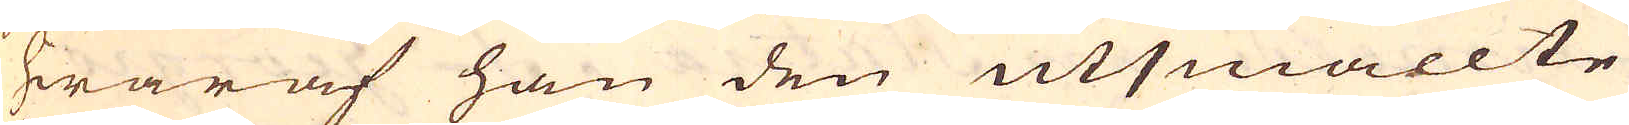hwaraf han den utsmällte
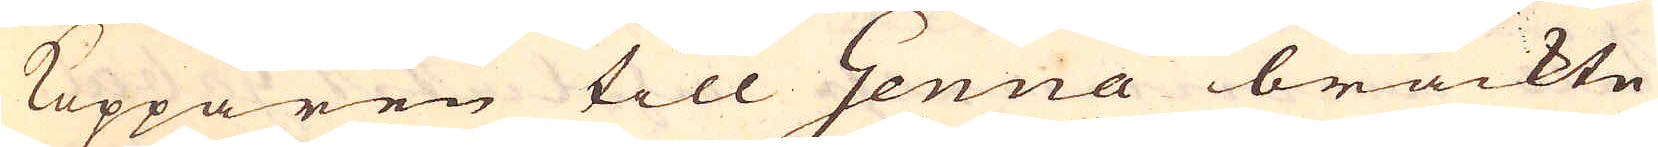Kopparen till Genua brackte
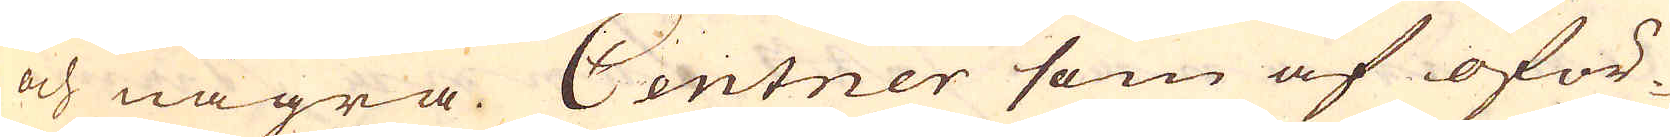och några Centner som af oför-
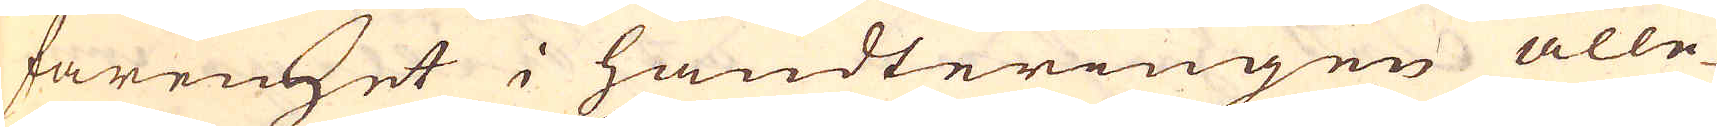farenhet i handteringen alle-
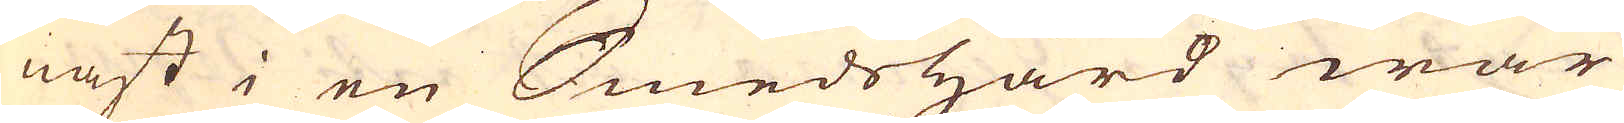nast i en Smedshärd war
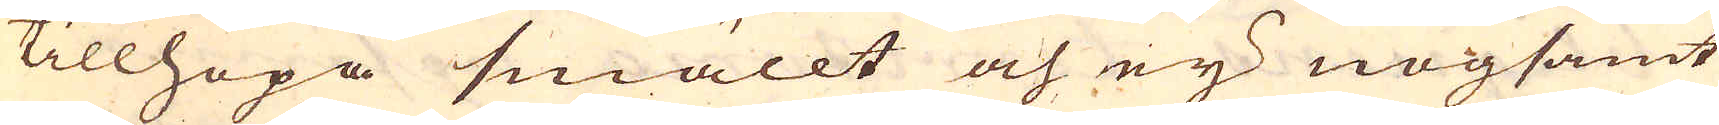tillhopa smällt och ey nogsamt
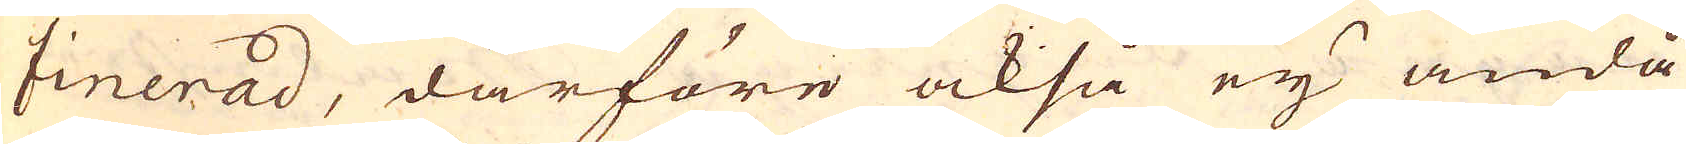finerad, därföre också ey ändå
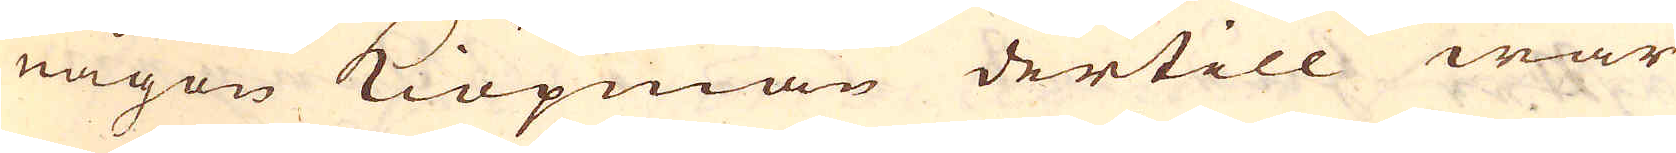någon Kiöpman dertill war
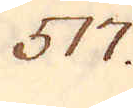517.
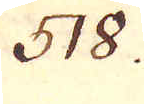518.
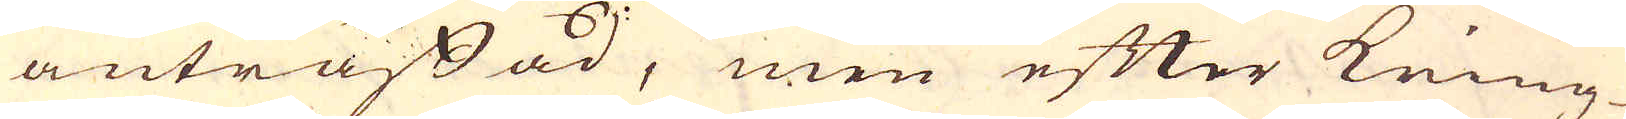anträffad, men efter kring-
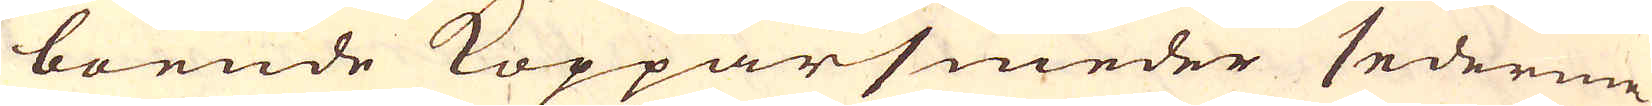boende Kopparsmeder sederme-
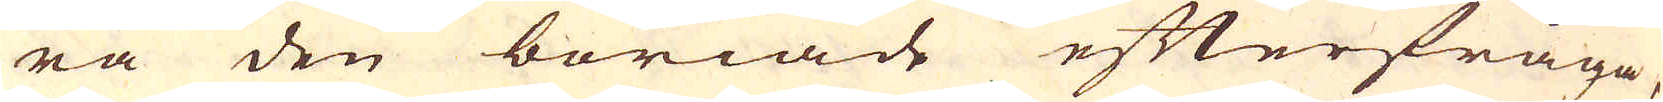ra den böriade efterfråga,
